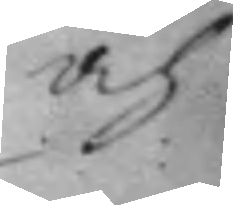och
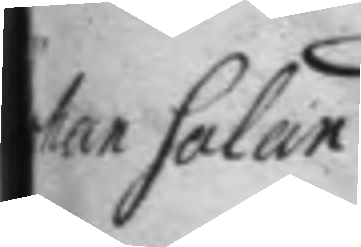ohan Salan
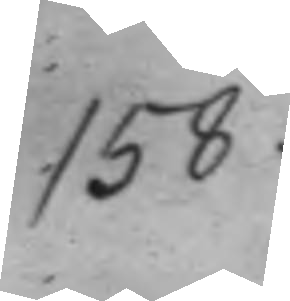158.
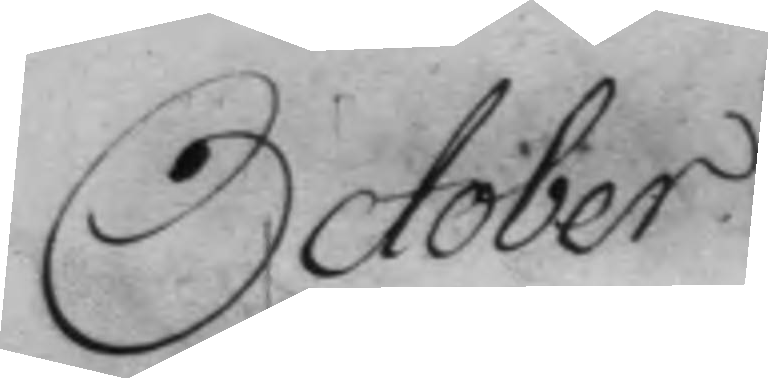October.
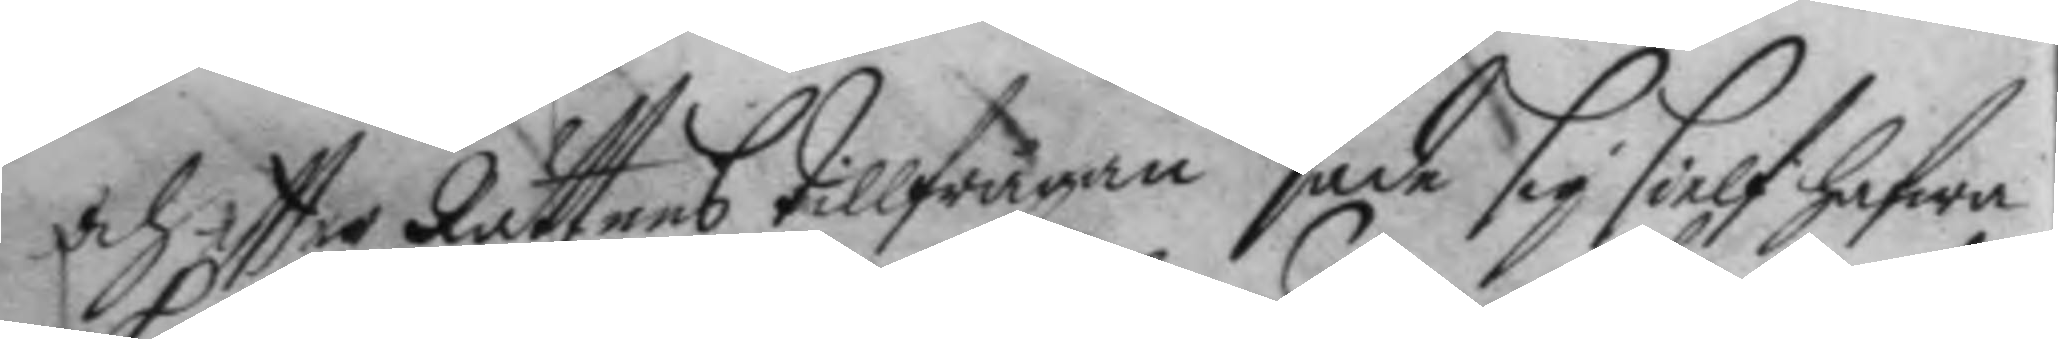och eftter Rättens tillfrågan sade sig sielf hafwa
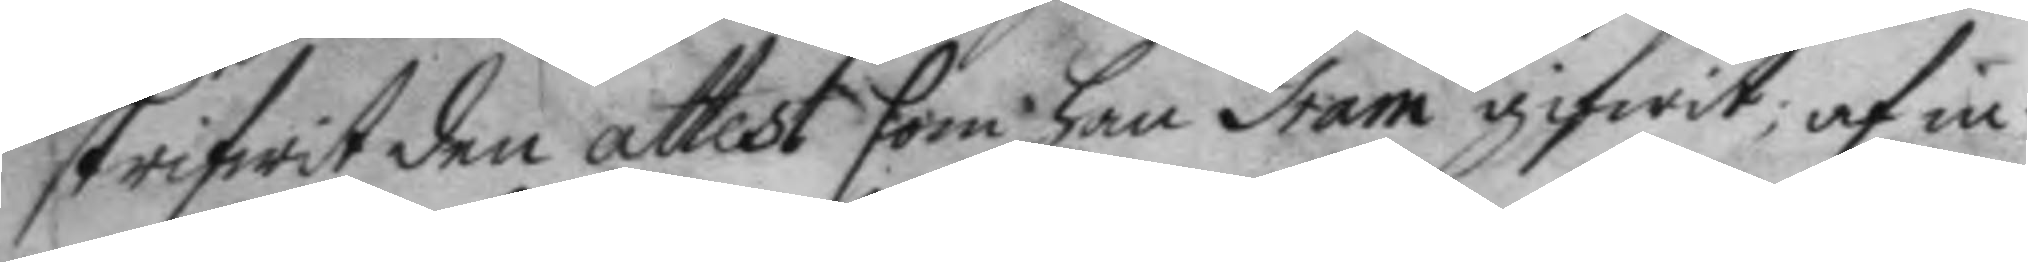skrifwit den attest som han Gam gifwit; af in¬
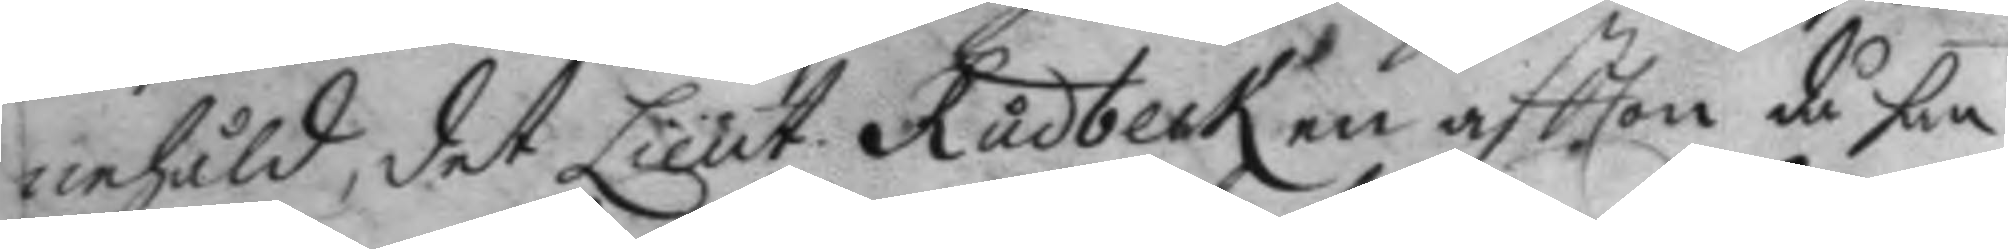nehåld, det Lieut. Rudbeck en aftton då han 
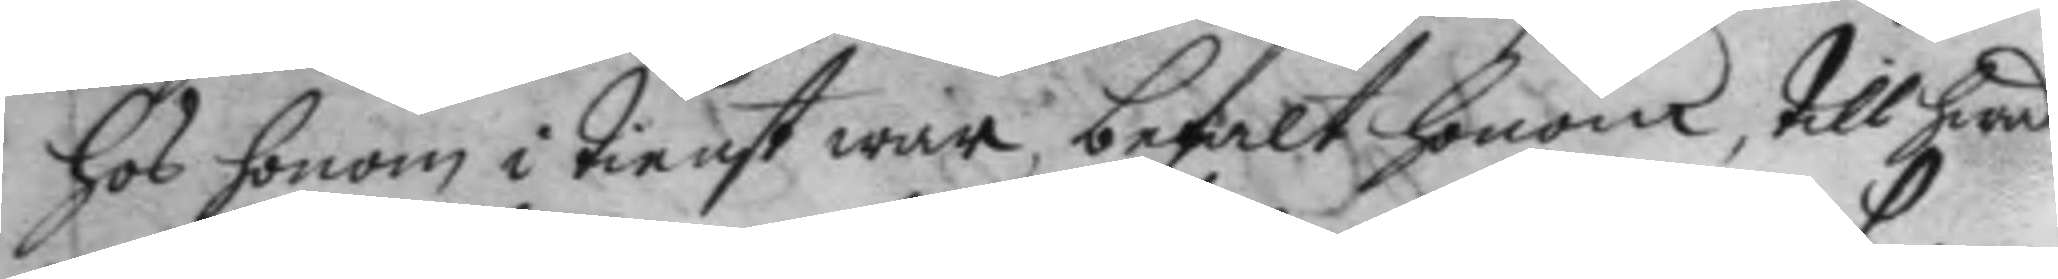hos honom i tienst war, befalt honom, till hwad
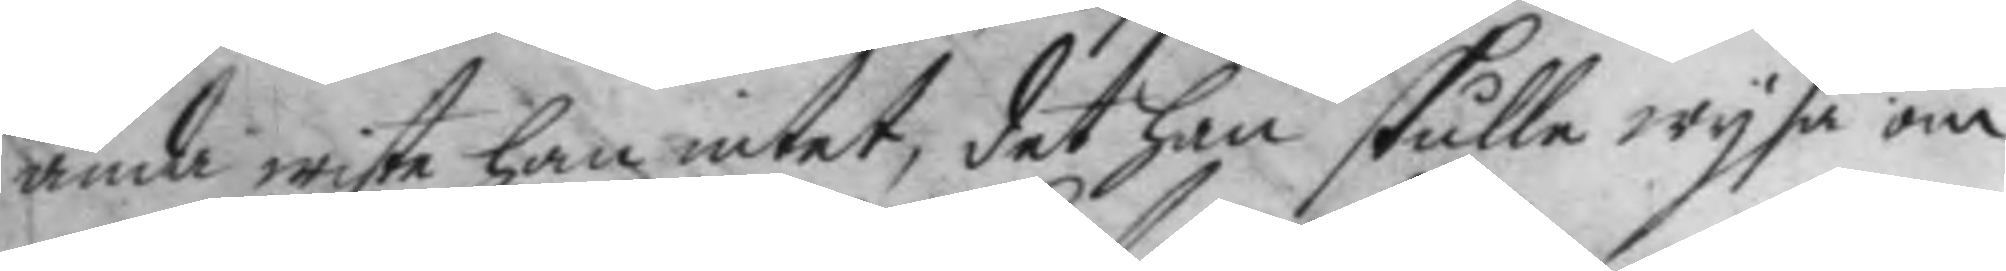ända wiste han intet, det han skulle wysa om
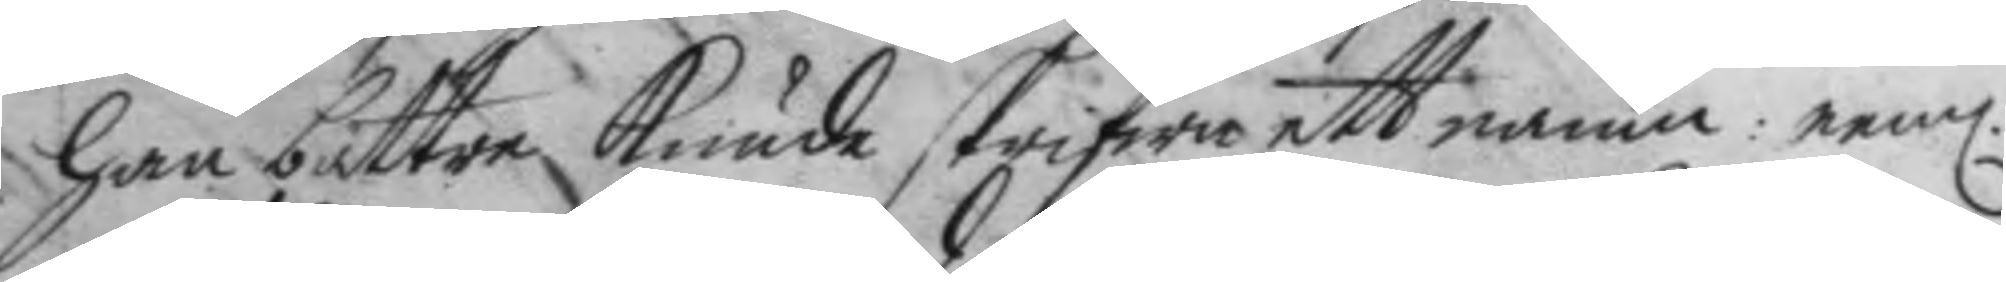han bättre kunde skrifwa ett namn: neml: 
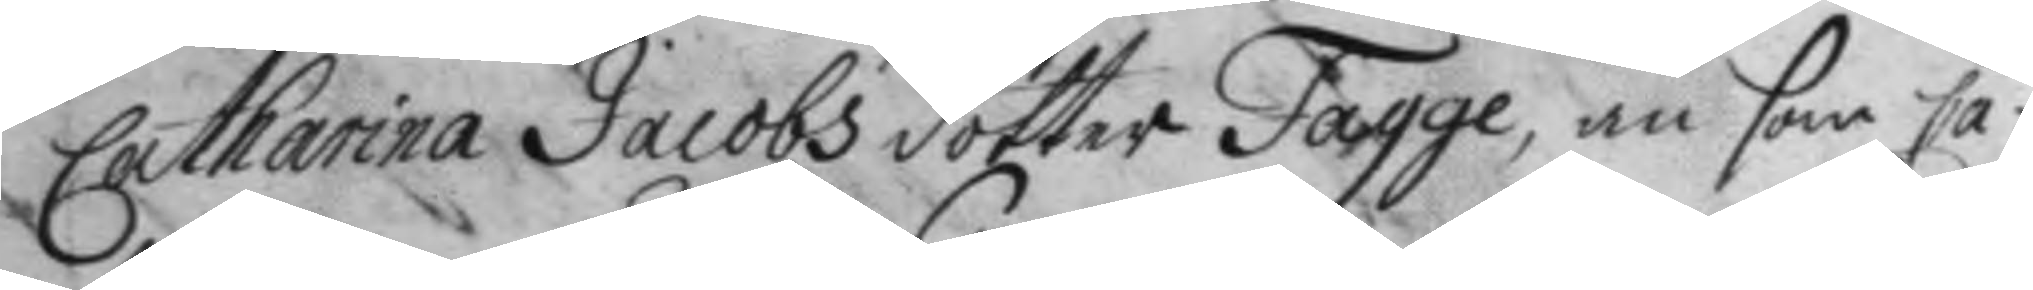Catharina Jacobs dotter Fagge, än som Ca¬
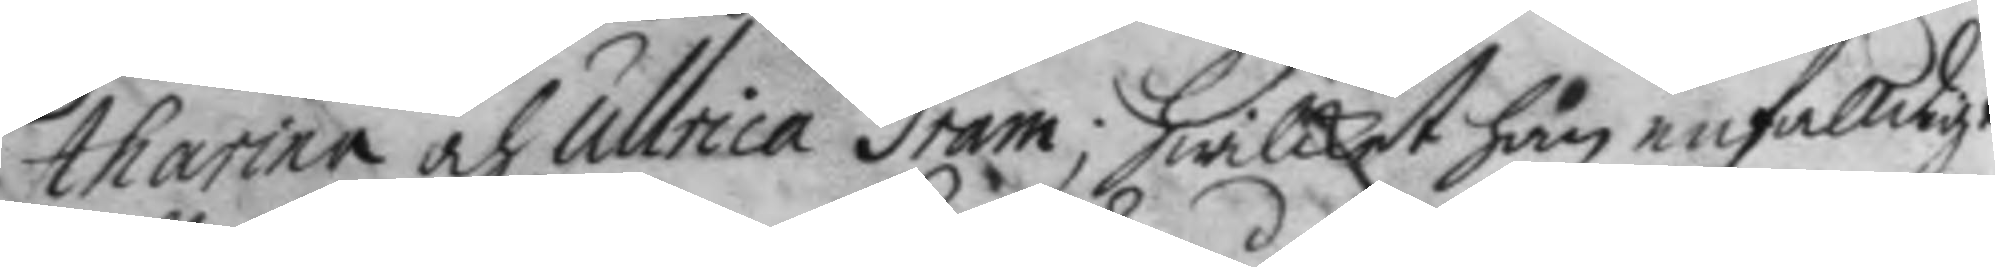tharina och Ullrica Gram, hwilket han enfalldigt
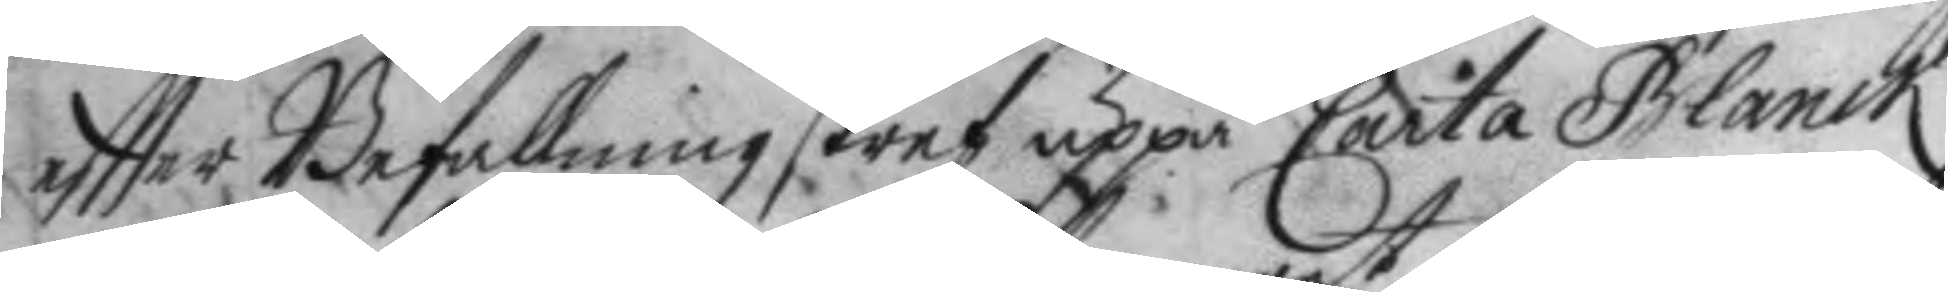effter Befallning skref uppå Carta Blanck
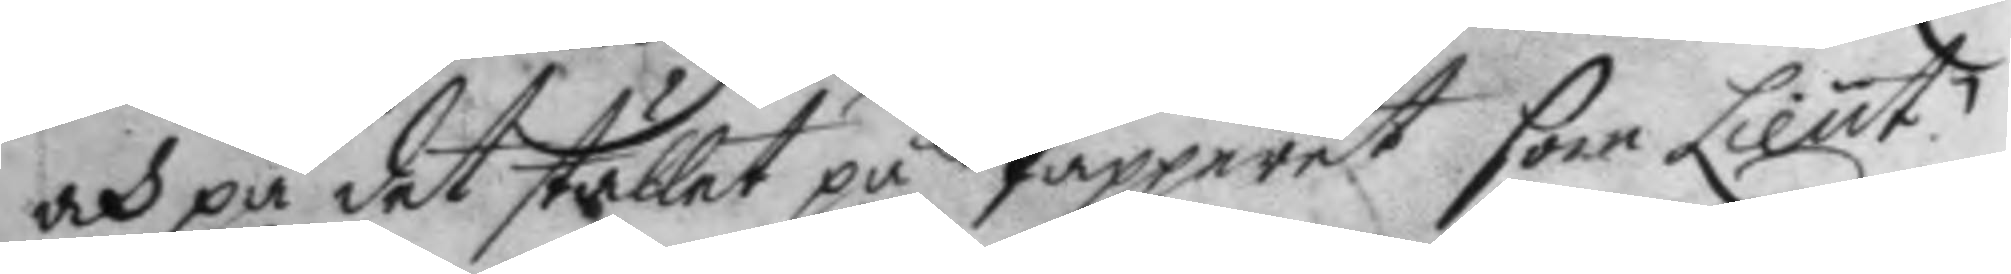och på det stället på Papparet som Lieut:
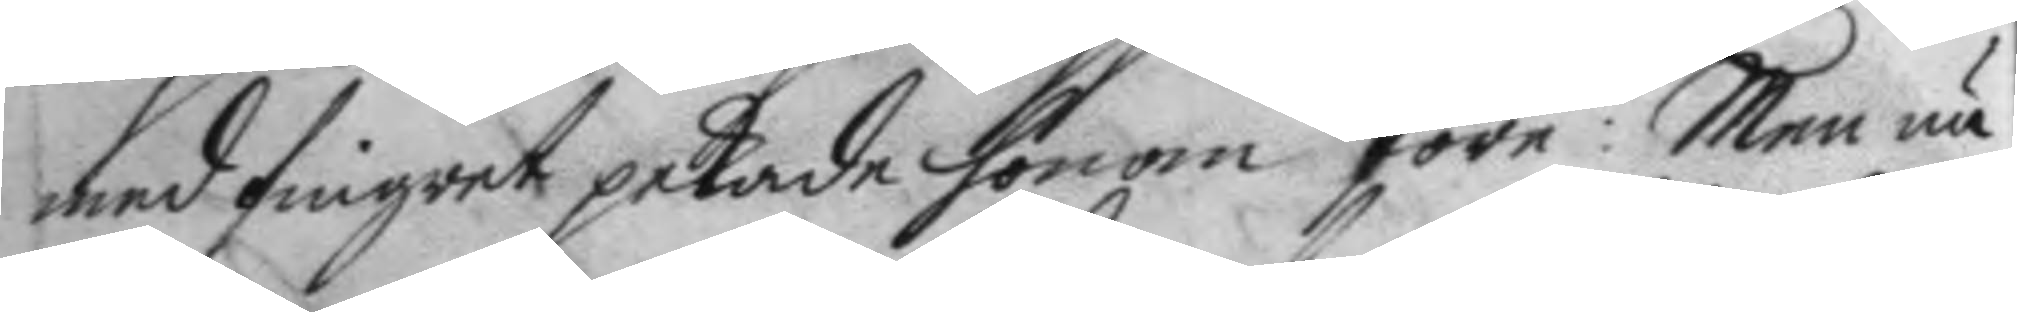med fingret pekade honom före: Men nu
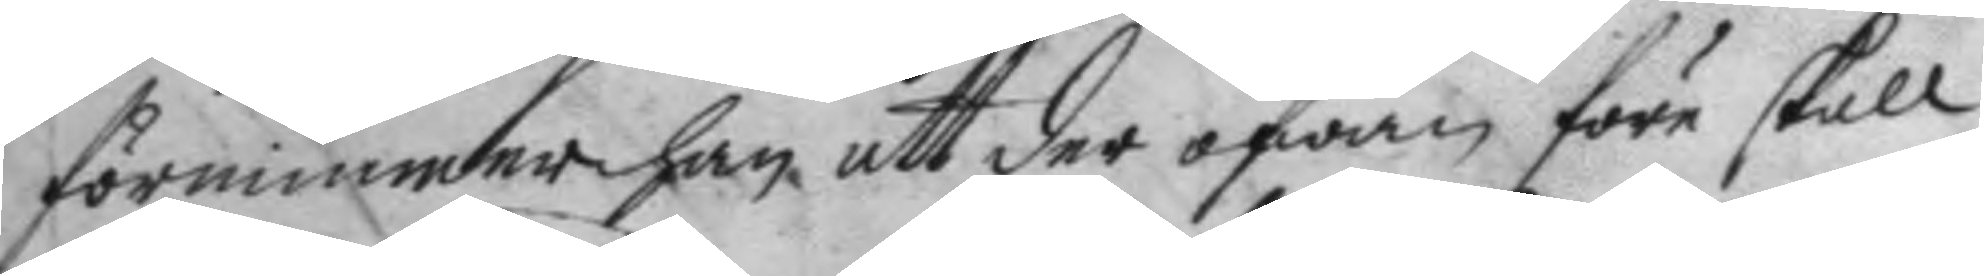förnimmer han, att der ofwan före skall
